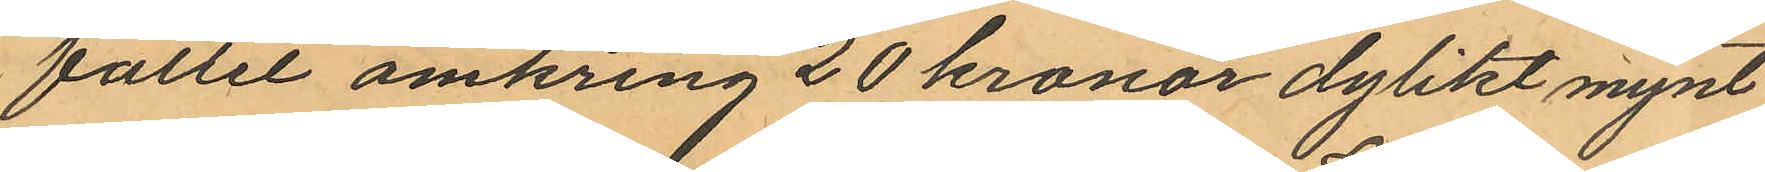fället omkring 20 kronor dylikt mynt
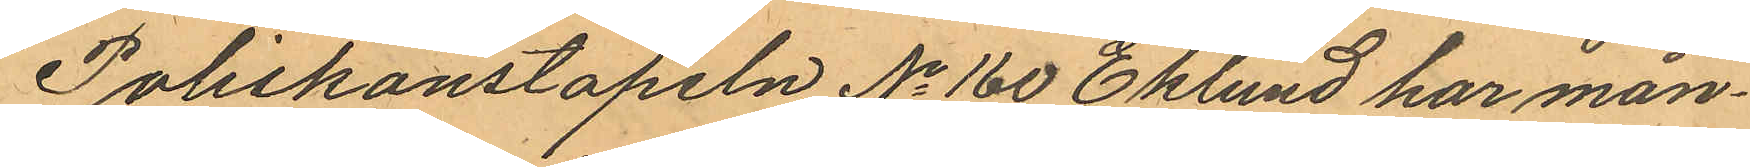Poliskonstapeln No 160 Eklund har mån¬
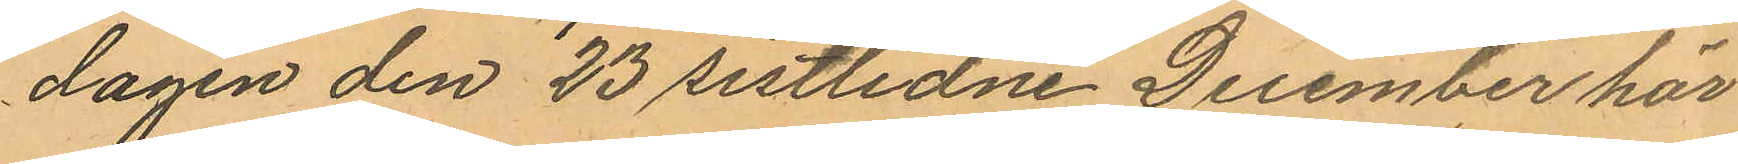dagen den 23 sistlidne December här
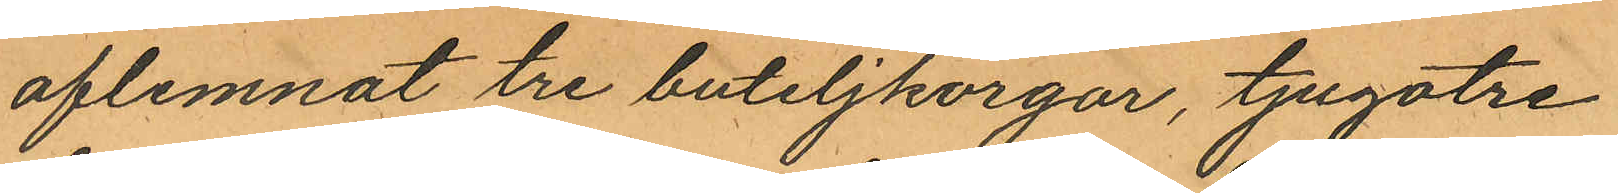aflemnat tre buteljkorgar, tjugotre
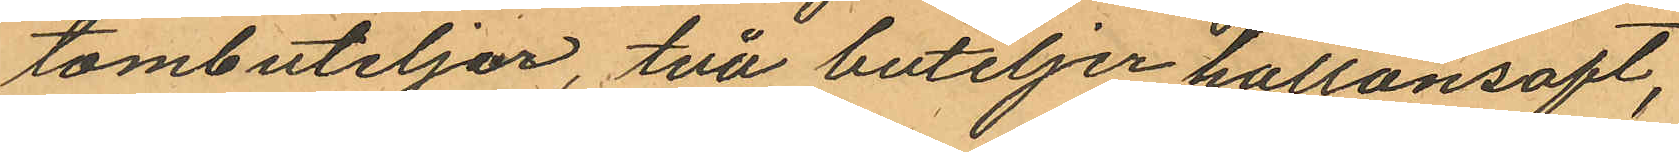tombuteljer, två buteljer hallonsaft,
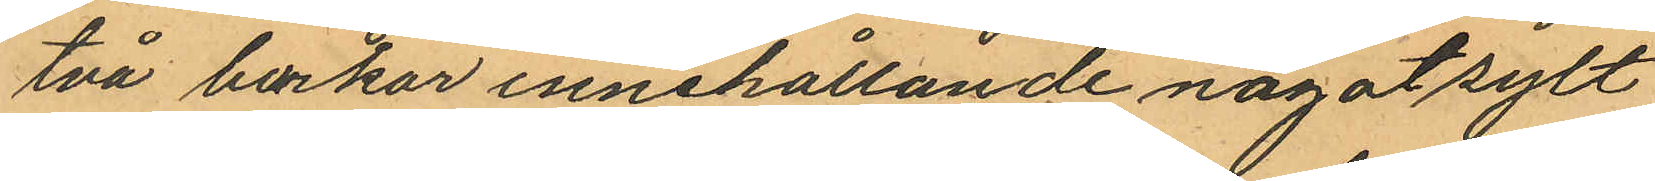två burkar innehållande något sylt
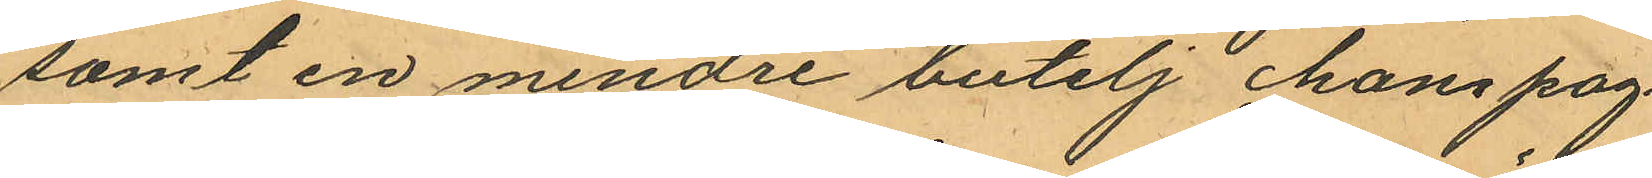samt en mindre butelj champag¬
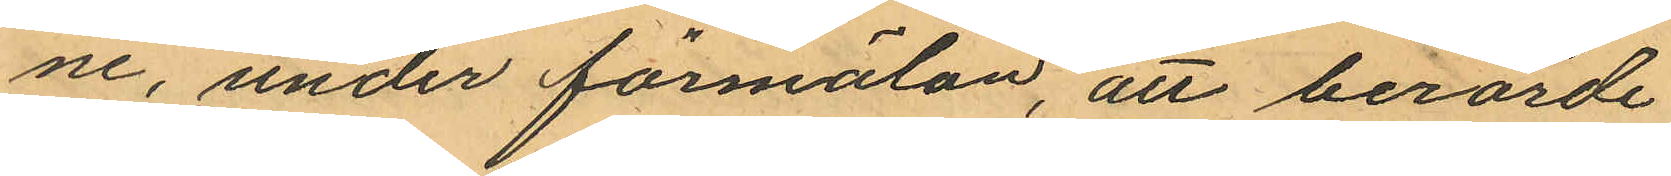ne, under förmälan, att berörde
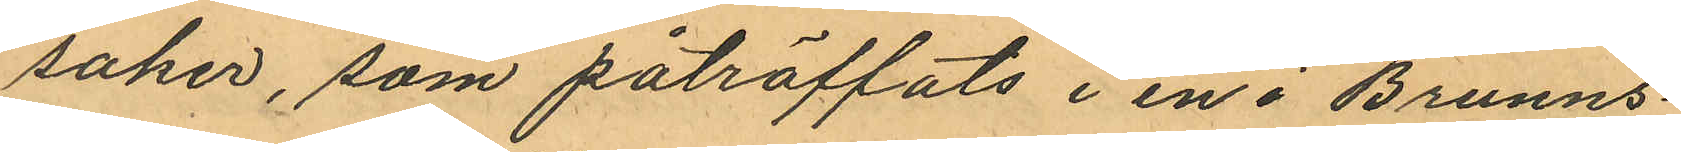saker, som påträffats i en i Brunns¬
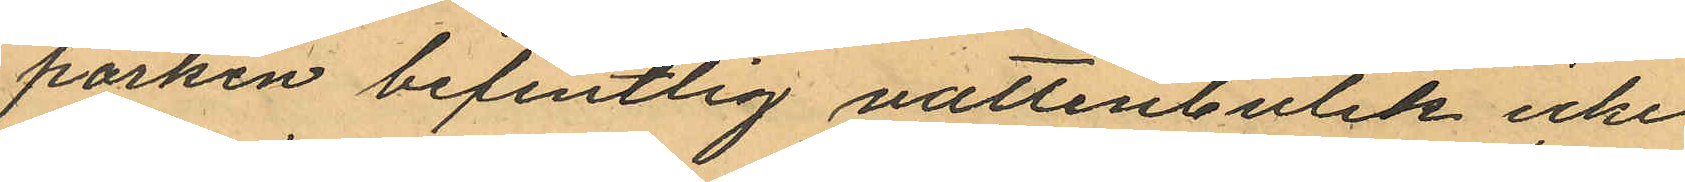parken befintlig vattenbutik icke
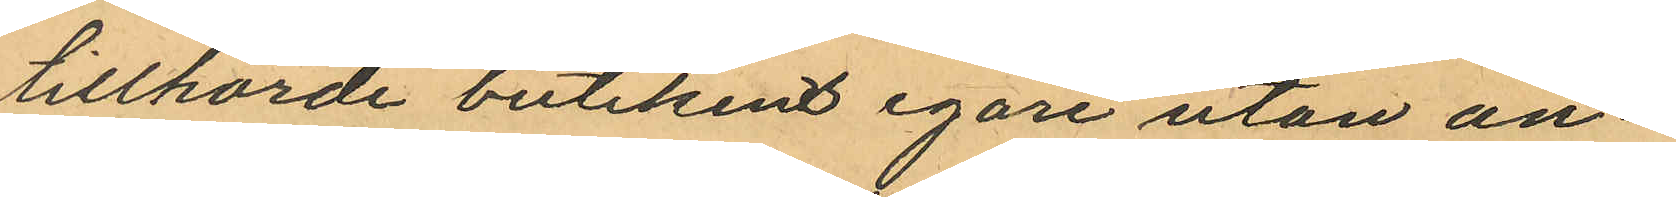tillhörde butikens egare utan an¬
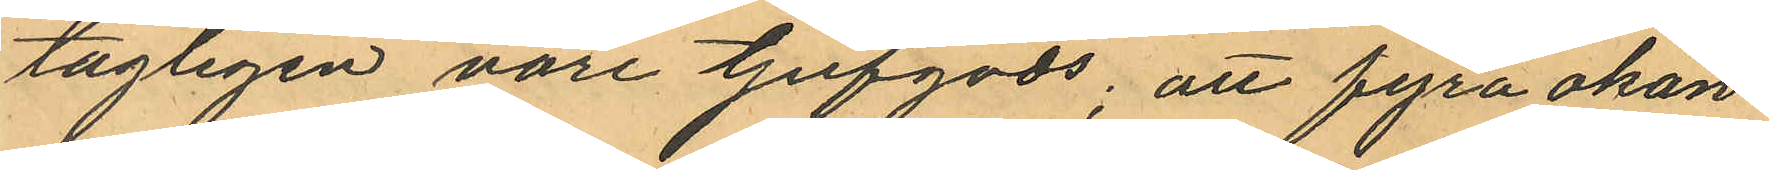tagligen vore tjufgods; att fyra okän¬
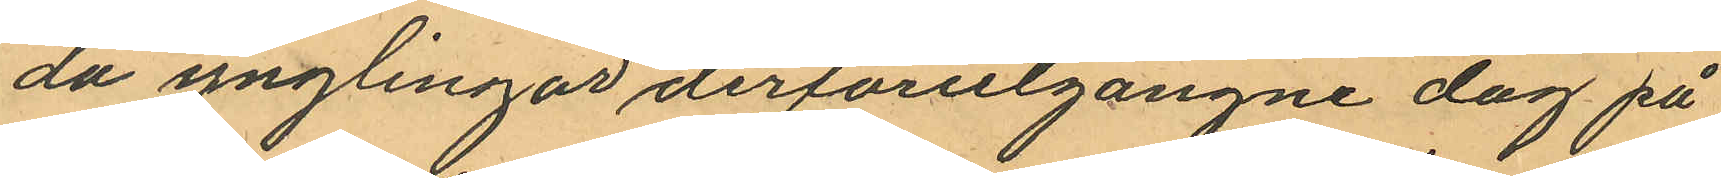da ynglingar derförutgångne dag på
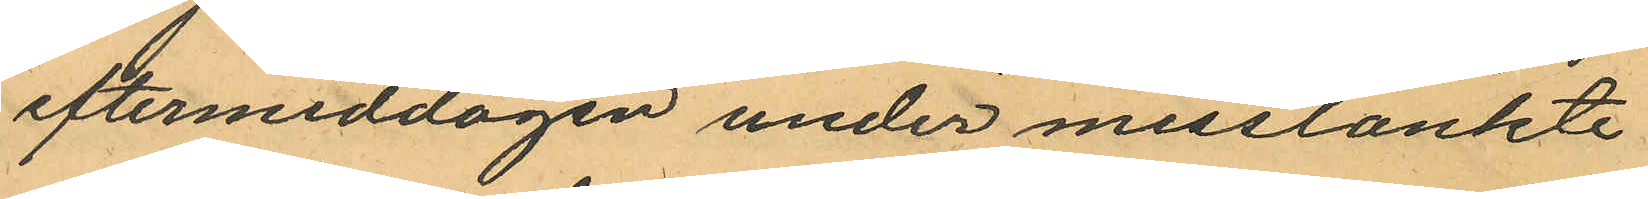eftermiddagen under misstänkte
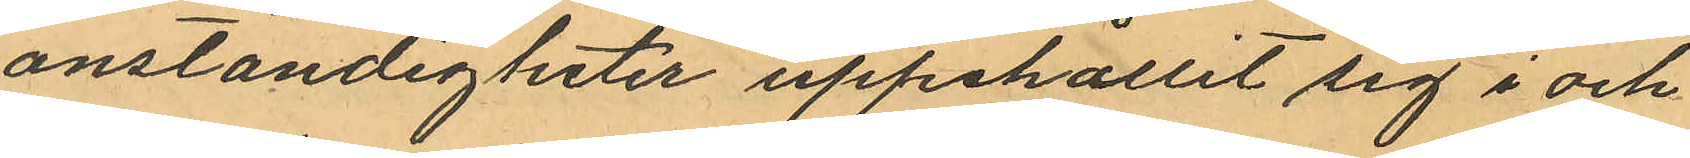onständigheter uppehållit sig i och
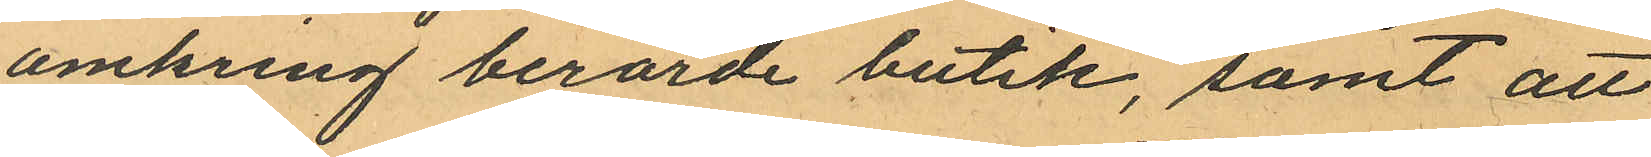omkring berörde butik, samt att
